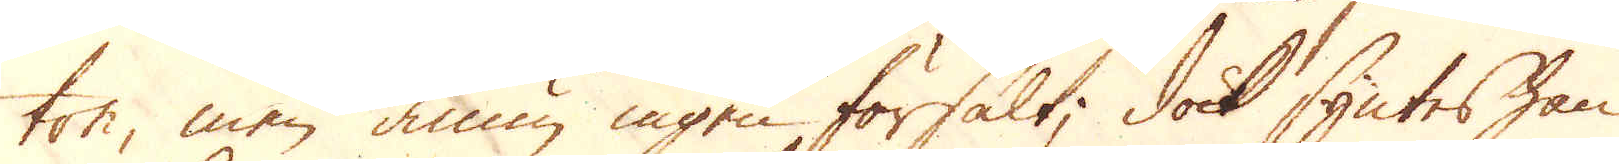ton, men ännu ingen försålt, dock syntes han
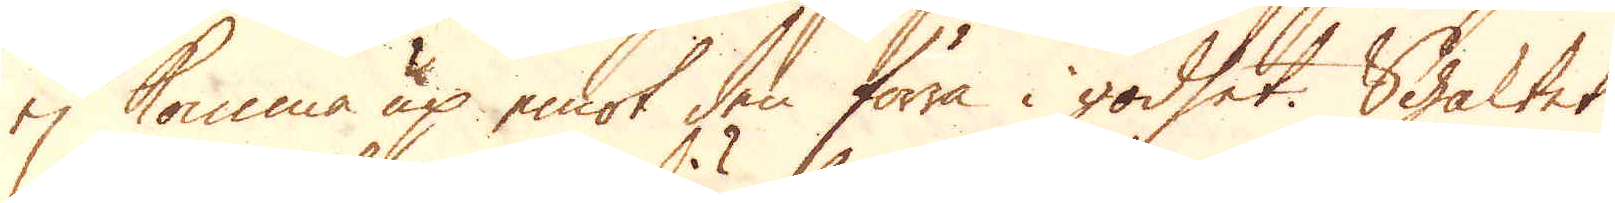ej komma up emot den förra i godset. Schaktet
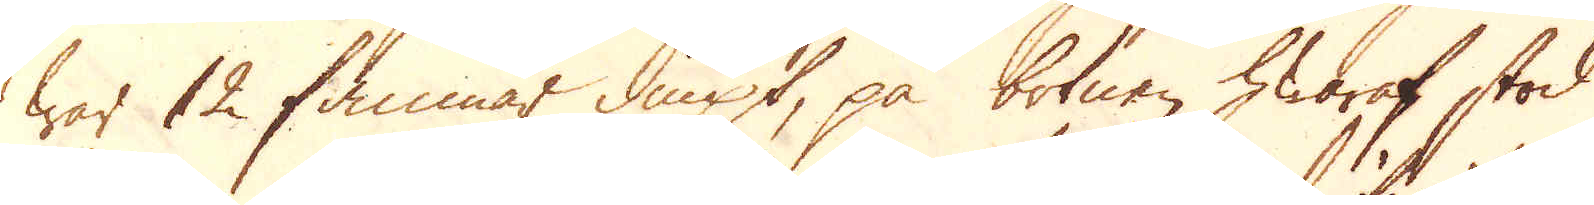war 12 famnar diupt, på botnen hwaraf stod
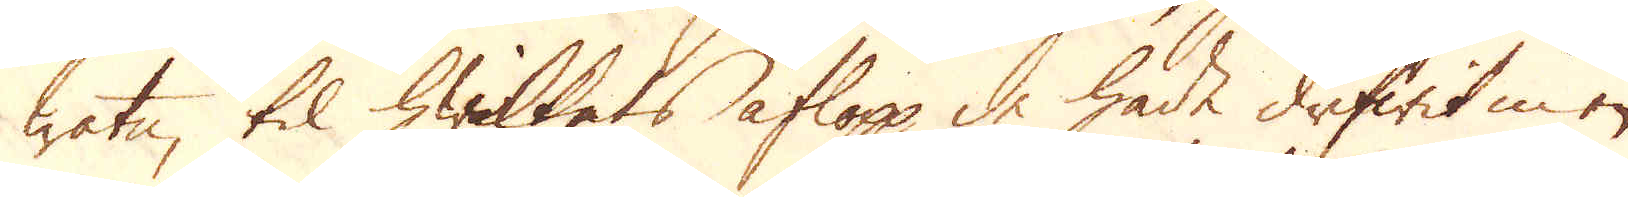watn, til hwilkets aflopp de hade drifwit en
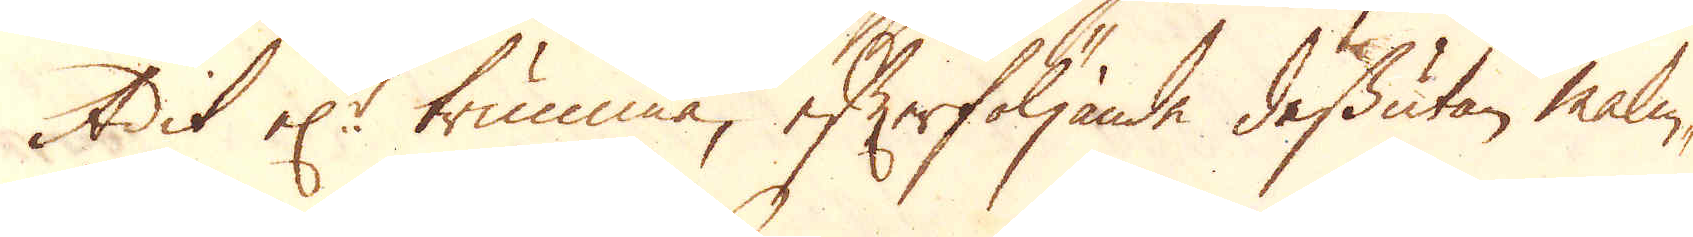Adit el:r trumma, efterföljande dessutan malm-
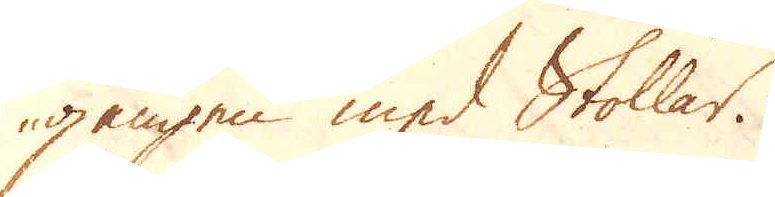gången med Stollar.
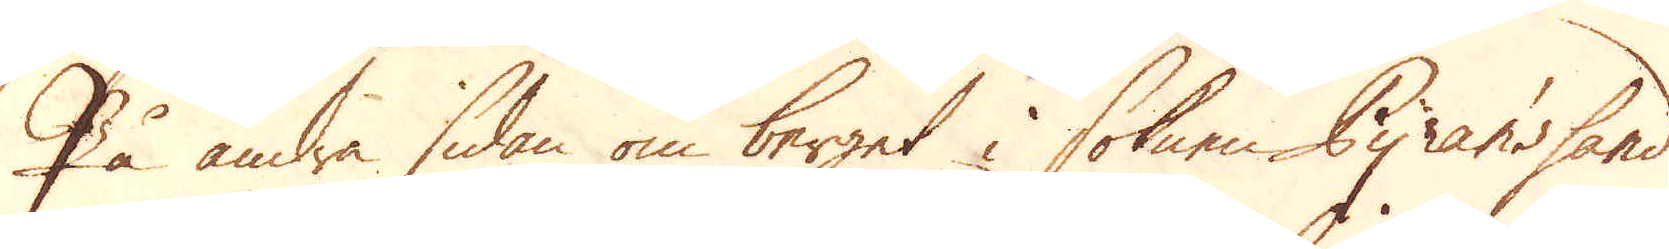På andra sidan om berget i soknen Pyran's sand
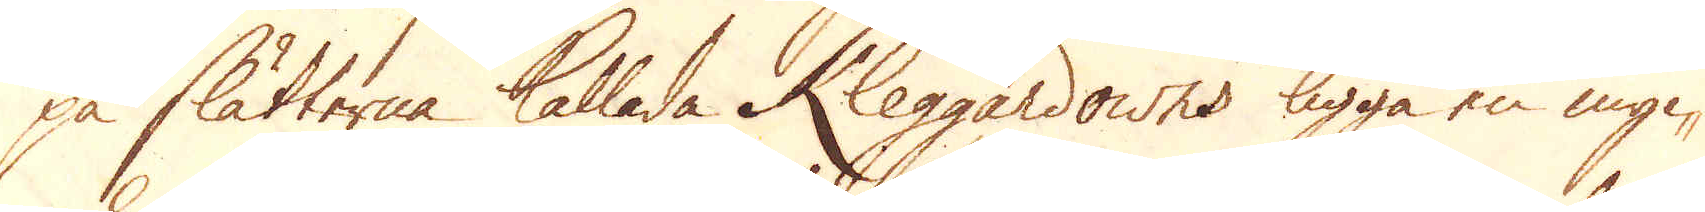på slätterna kallade Kleggardowns ligga en myc-
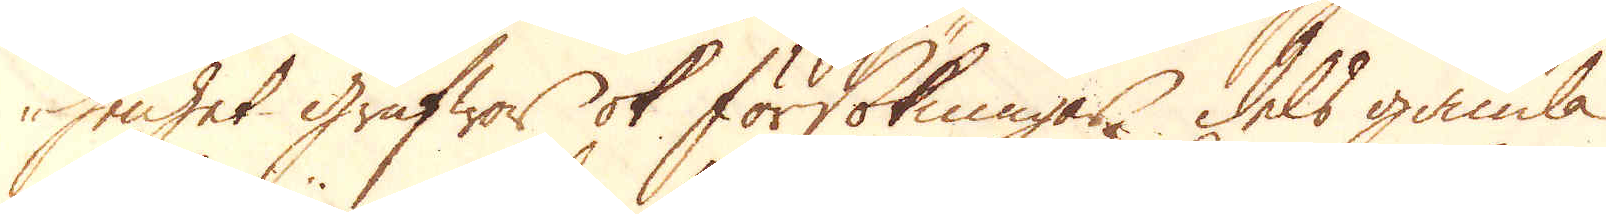kenhet grufwor ok försökningar, dels gamla
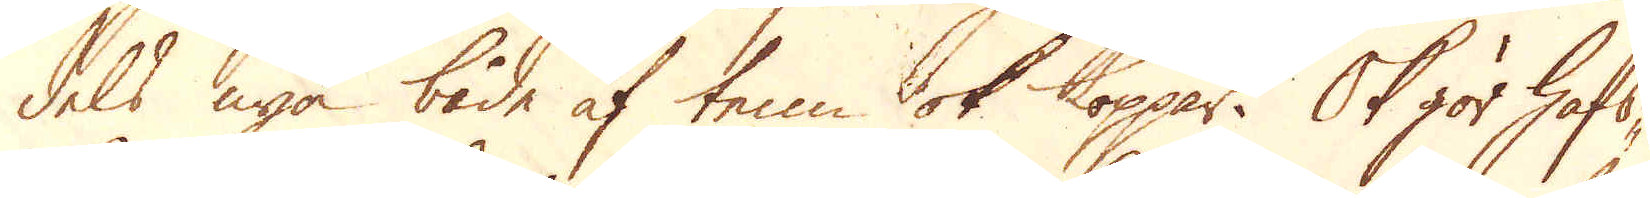dels nya både af tenn ok koppar. Ok gör hafs-
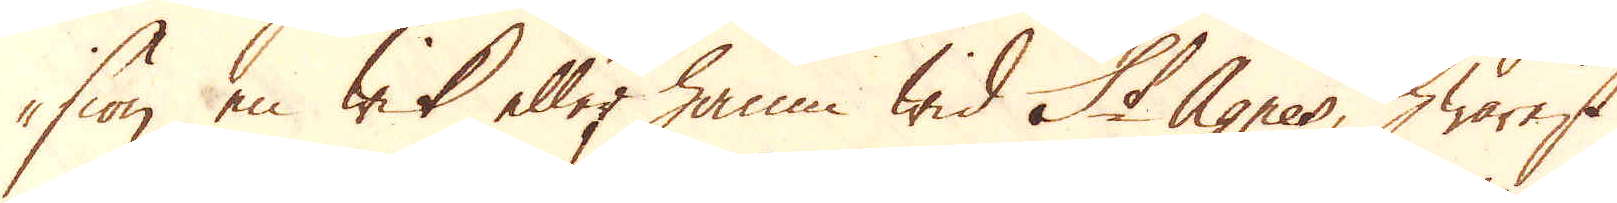siön en wik eller hamn wid St Agnes, hwarest
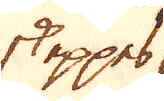skeppes
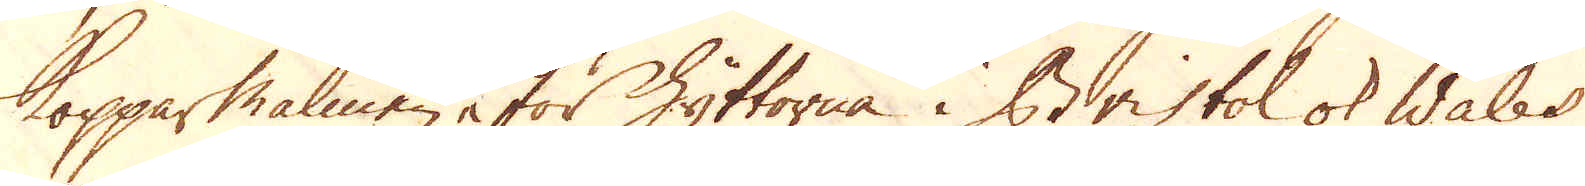Kopparmalmen för Hyttorna i Bristol ok Wales
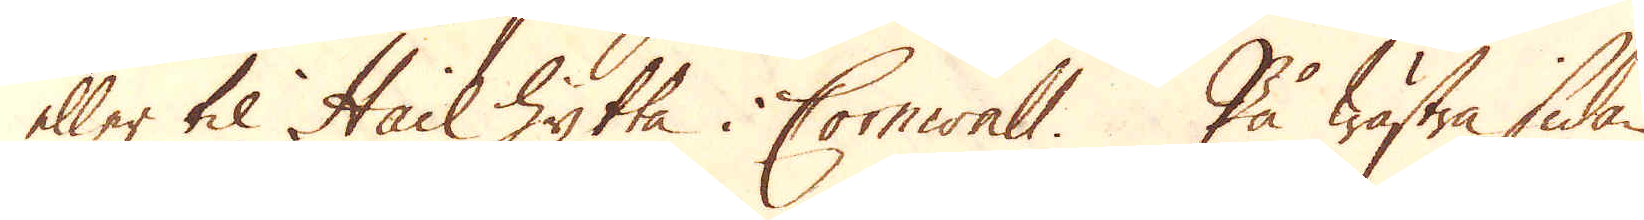eller til Hail hytta i Cornwall. På wästra sidan
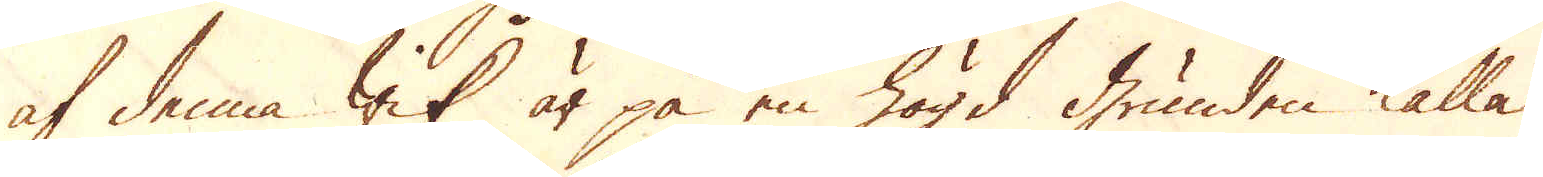af denna wik är på en högd grunden kallad
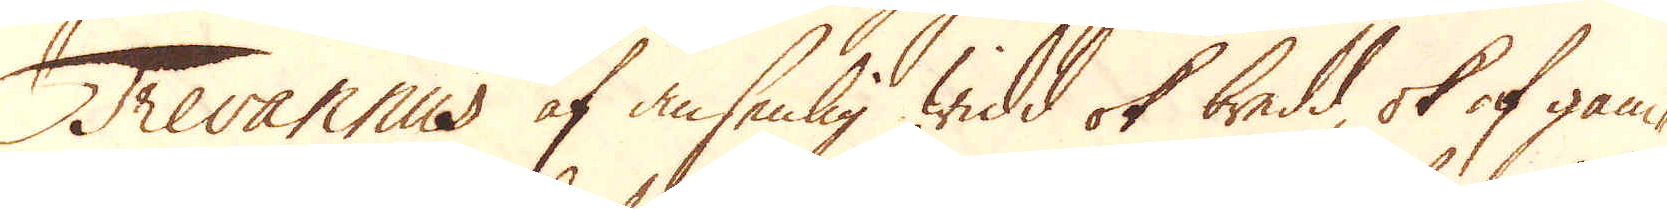Trevannus af ansenlig widd ok bredd ok af gam-
